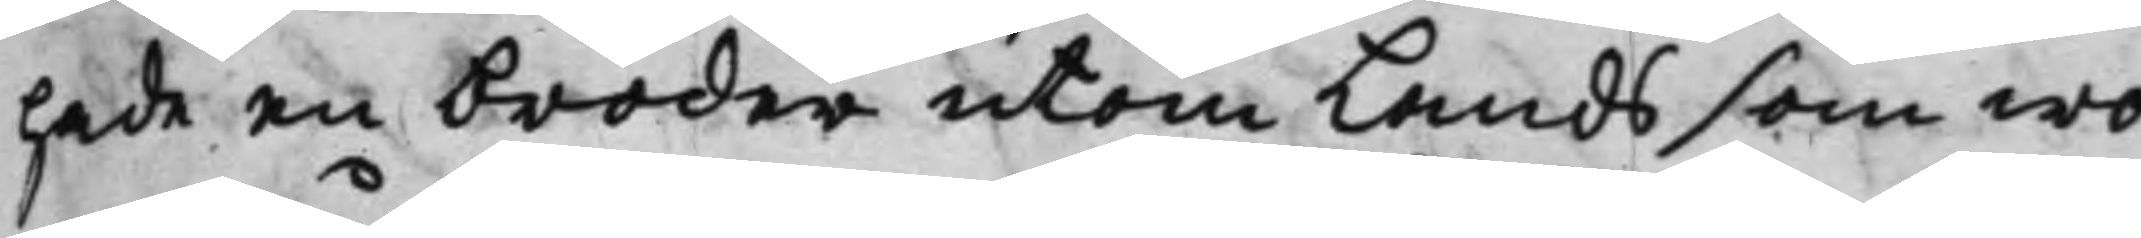hade en broder utom Lands som wo¬
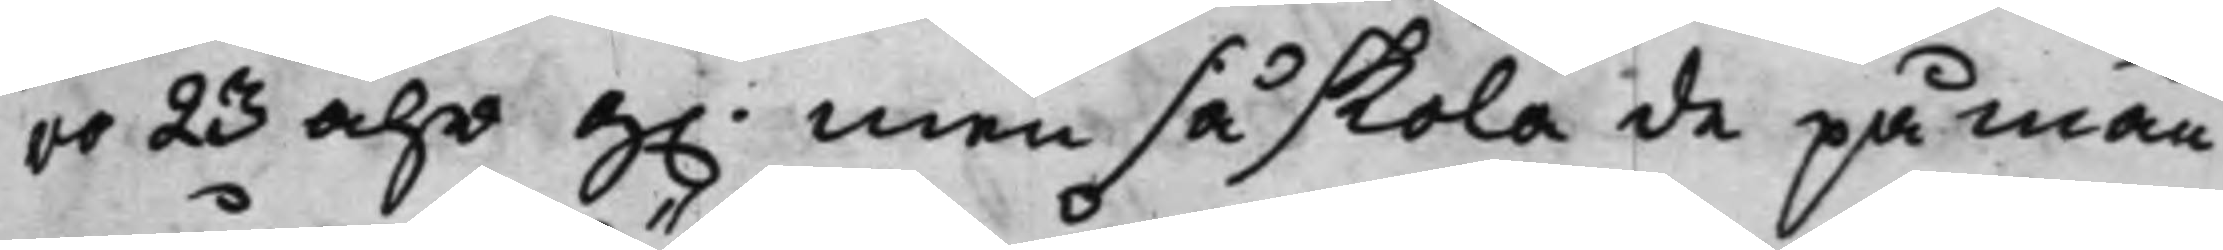ro 23 åhr G. men så skola de på mån¬
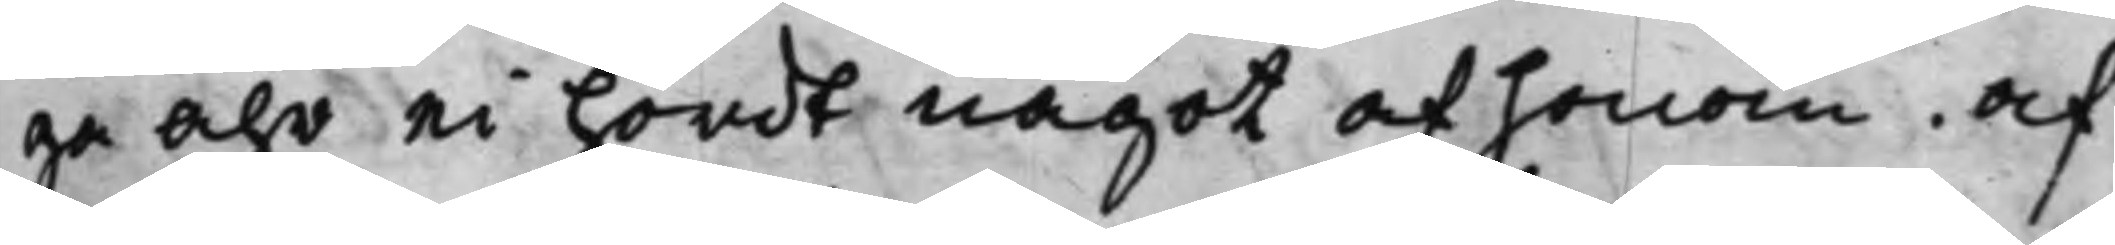ga åhr ei hördt något af honom, Af¬
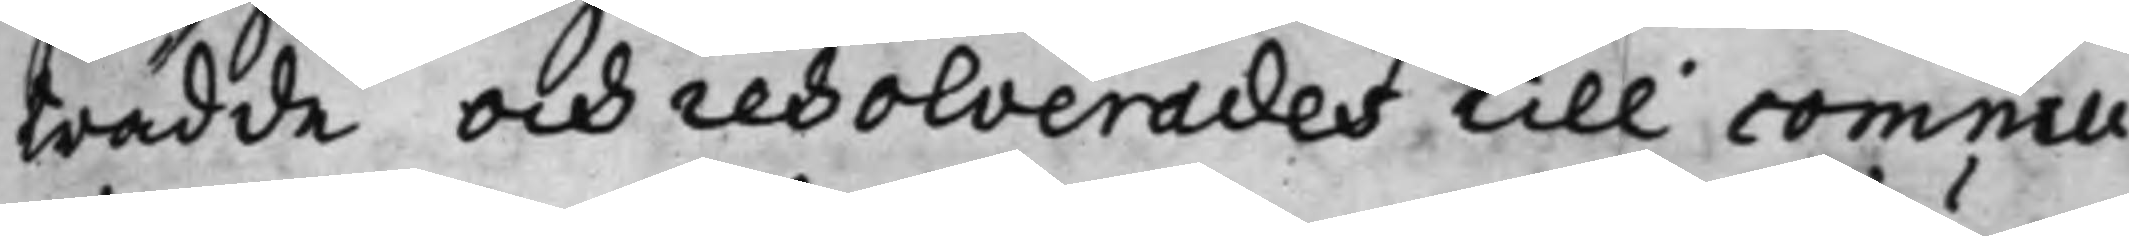trädde och resolverades till commu¬
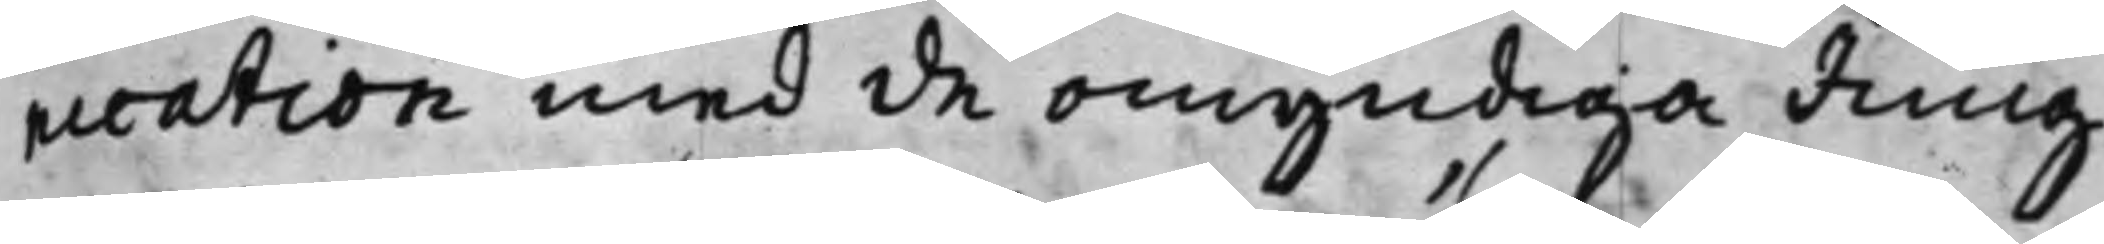nication med de omyndiga Jung¬
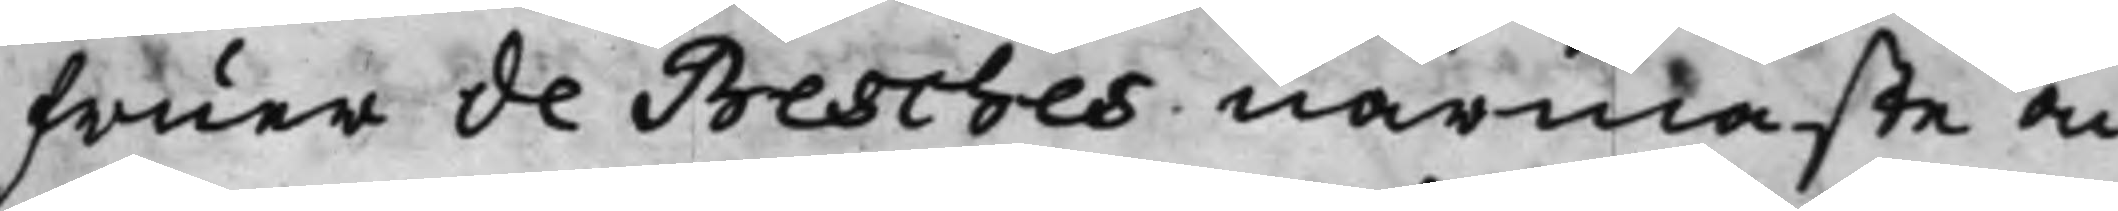fruer de Besches närmaste an¬
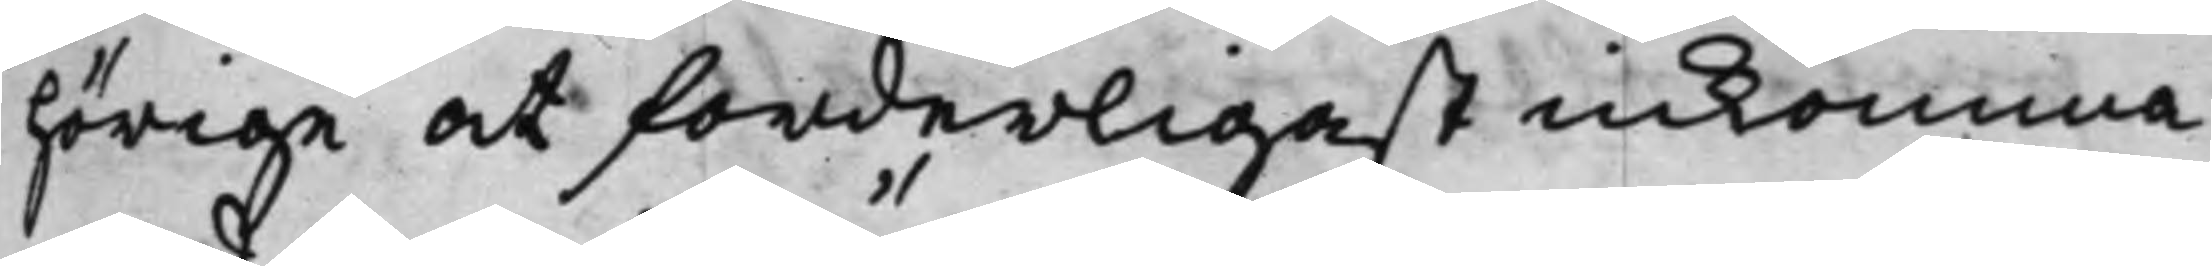hörige at forderligast inkomma
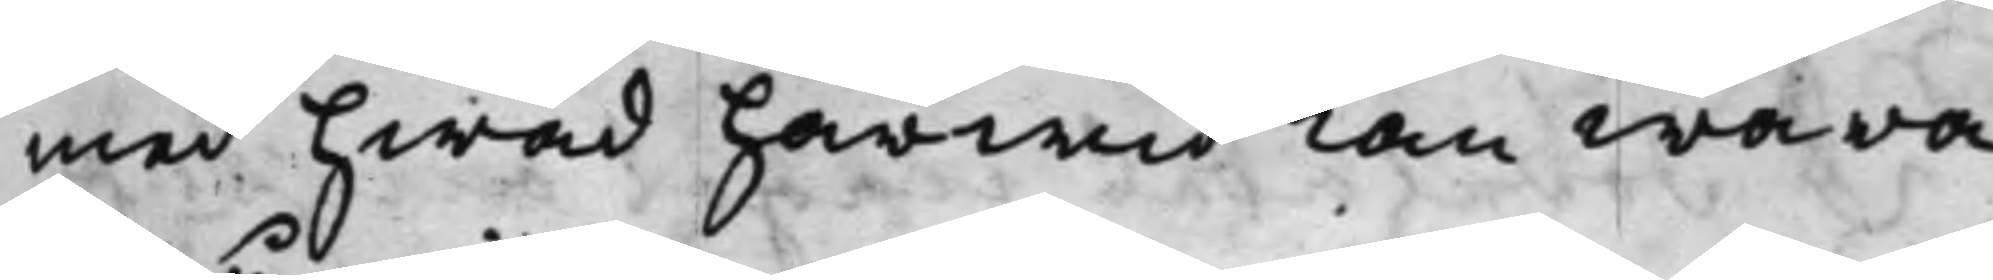med hwad härwid kan wara
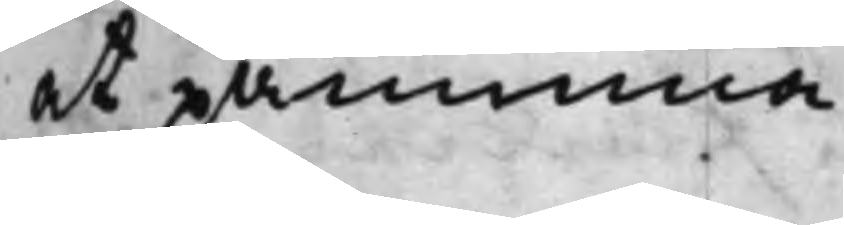at påminna.
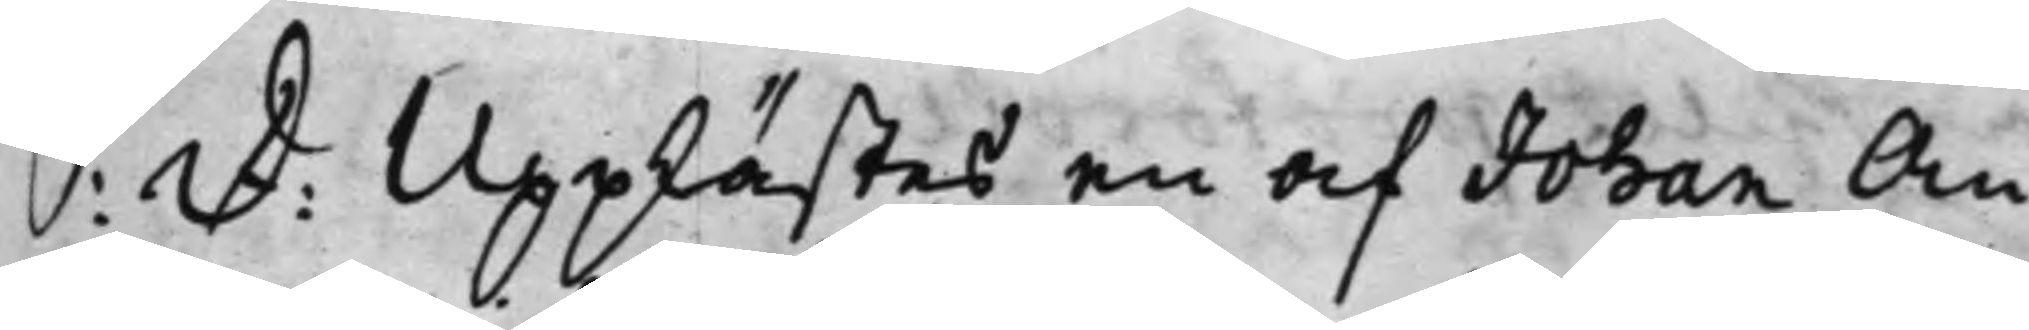S: D: Upplästes en af Johan An¬
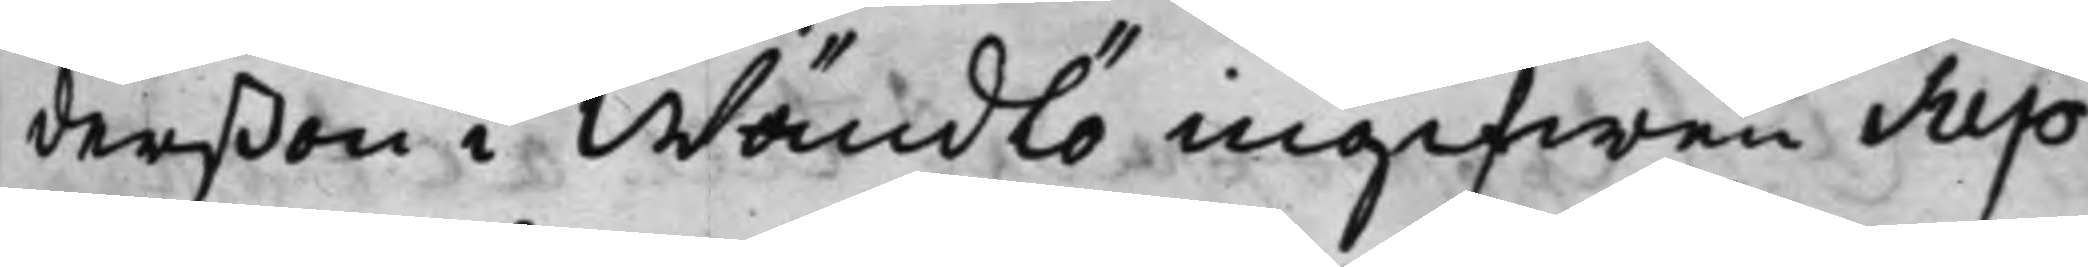derßon i Wändlö ingifwen Sup¬
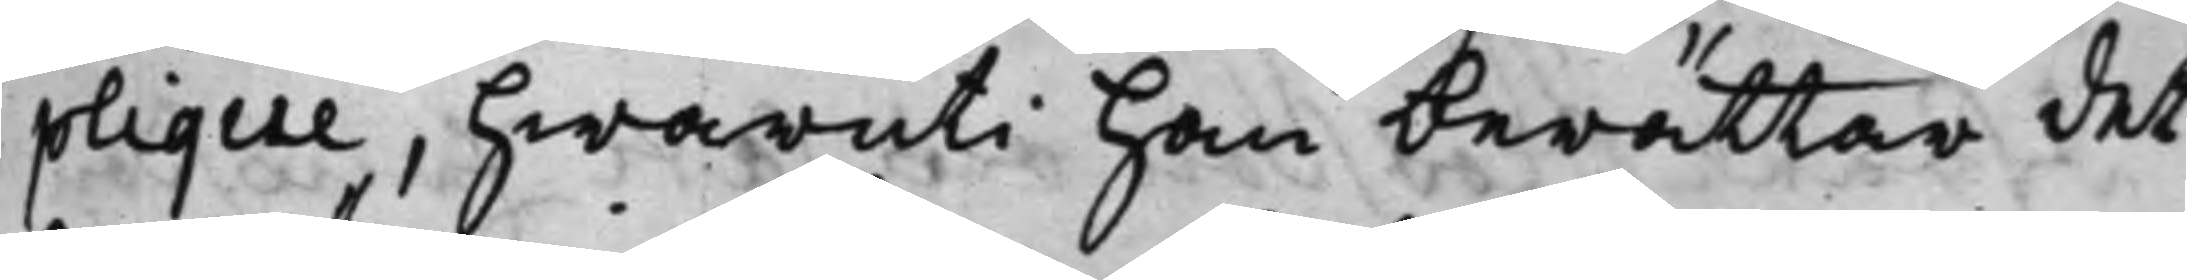plique, hwaruti han berättar det
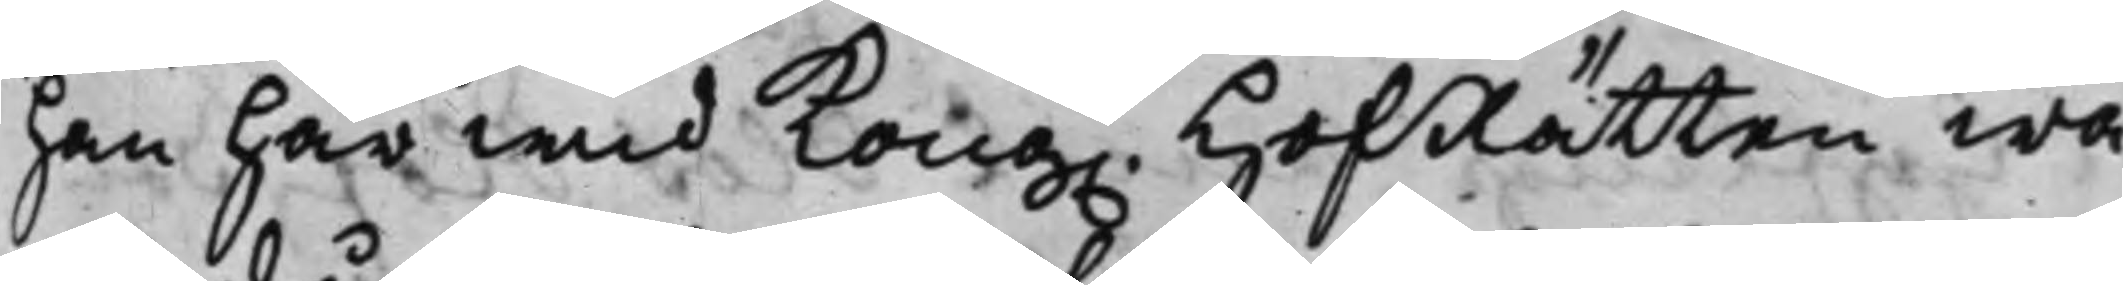han här wid Kong. HofRätten wa¬
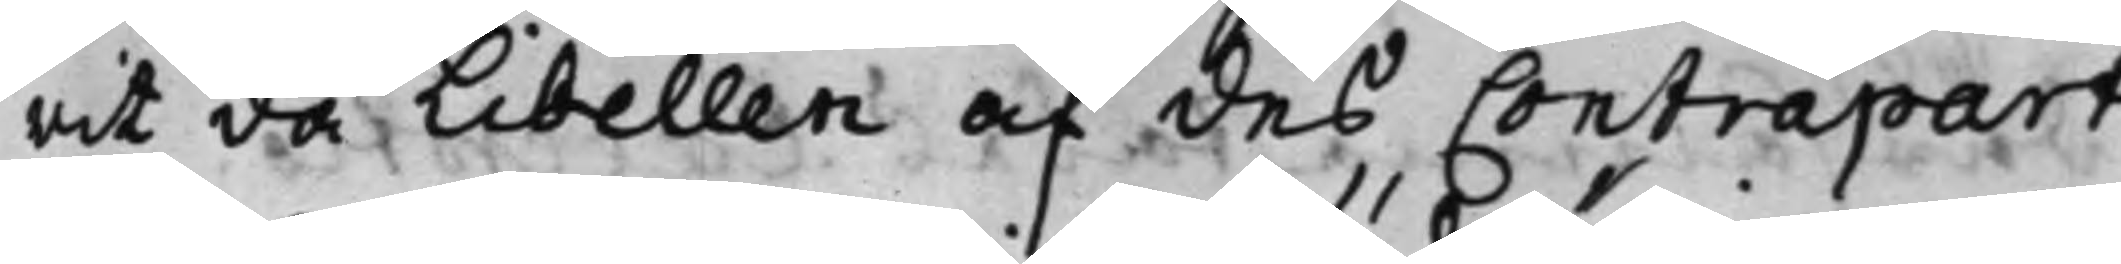rit då Libellen af des Contrapart
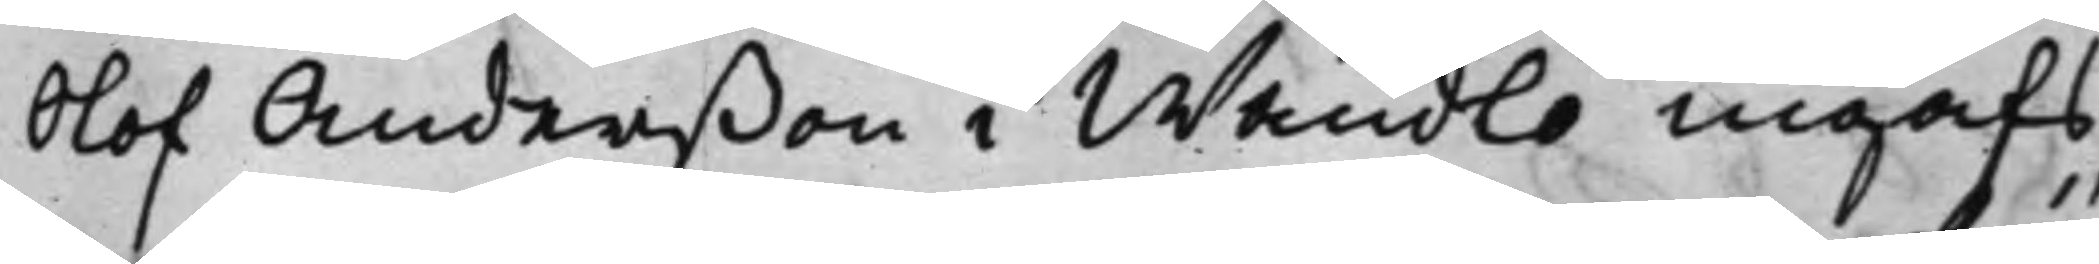Olof Anderßon i Wändlö ingafs,
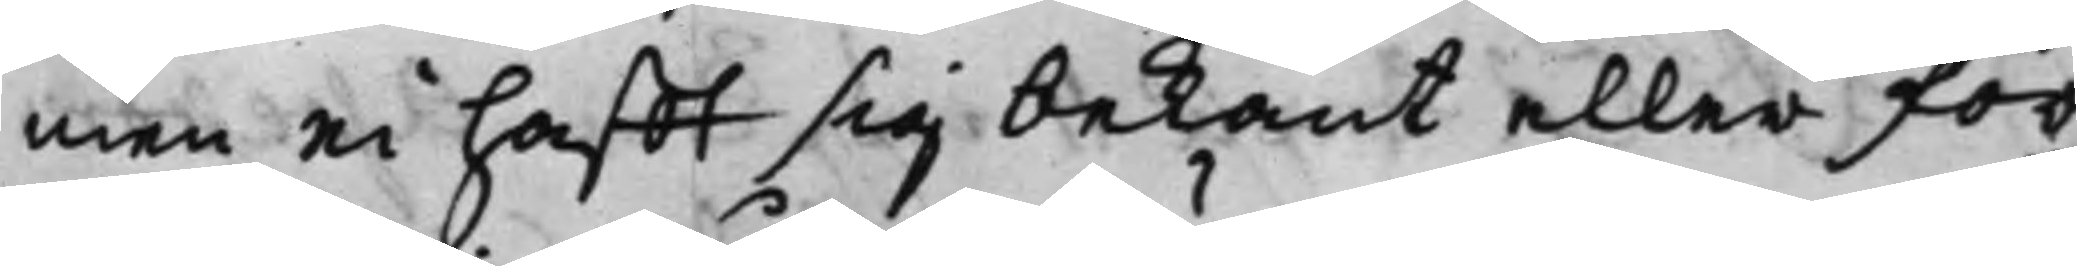men ei hafft sig bekant eller för¬
